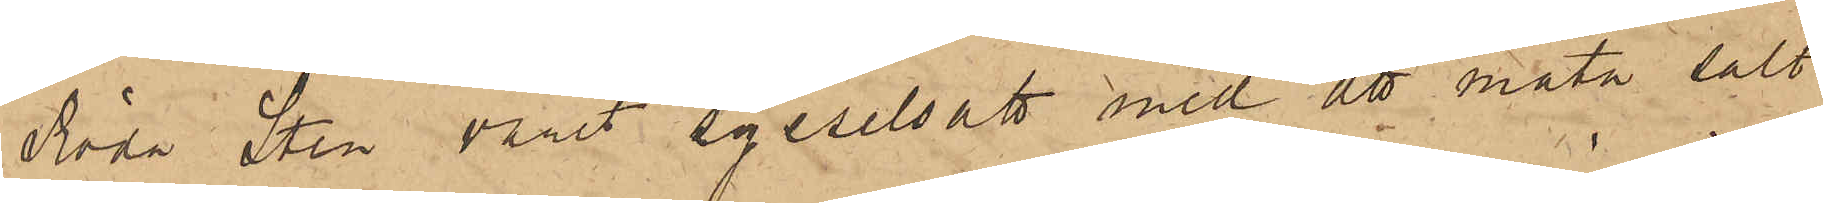Röda Sten varit sysselsatt med att mäta salt
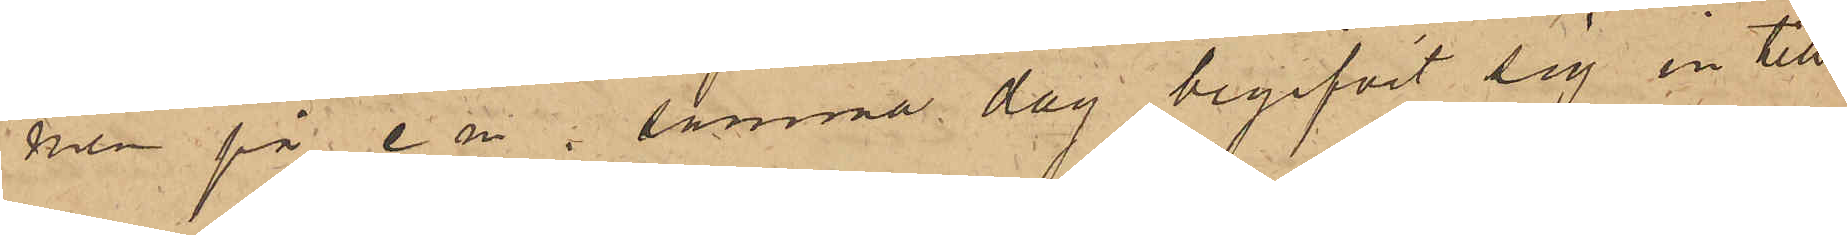men på e m. samma dag begifvit sig in till
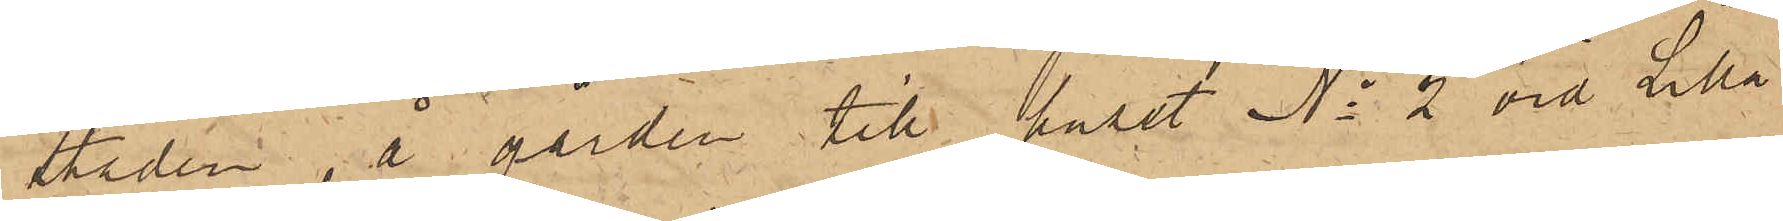Staden, å gården till huset No 2 vid Lilla
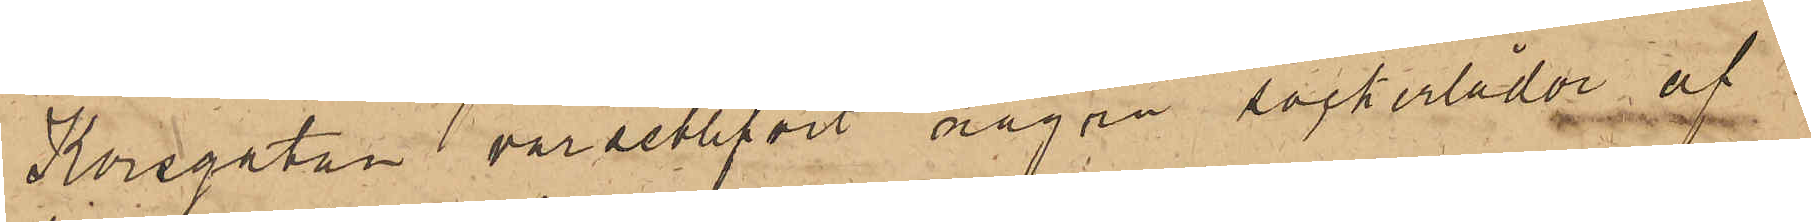Korsgatan varseblifvit några sockerlådor af
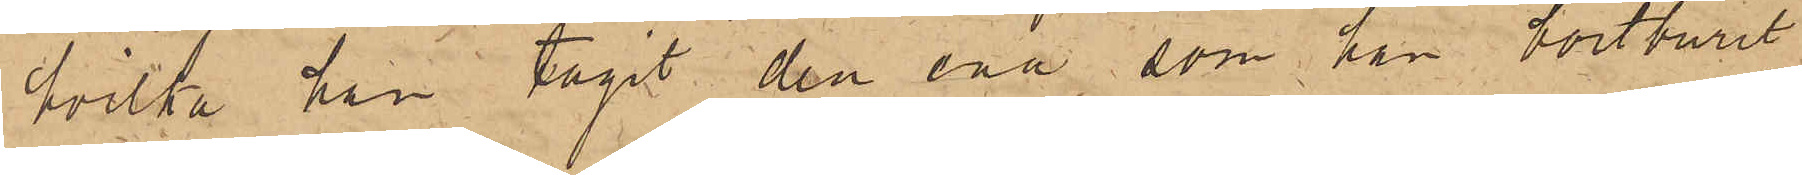hvilka han tagit den ena som han bortburit
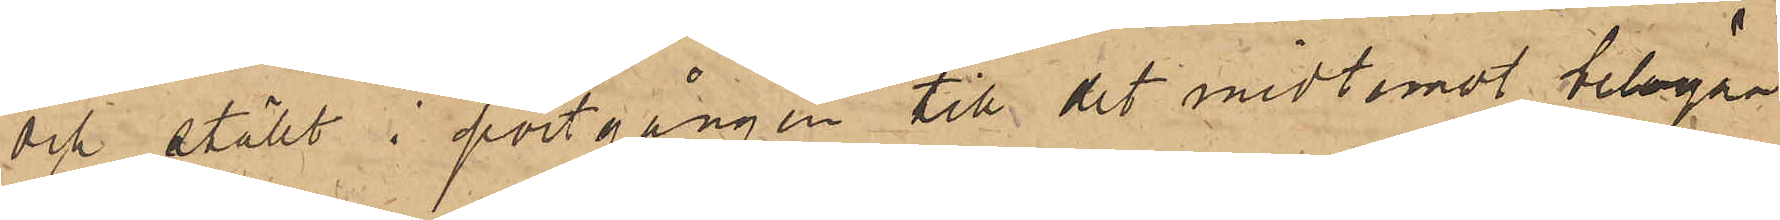och ställt i portgången till det midtemot belägna
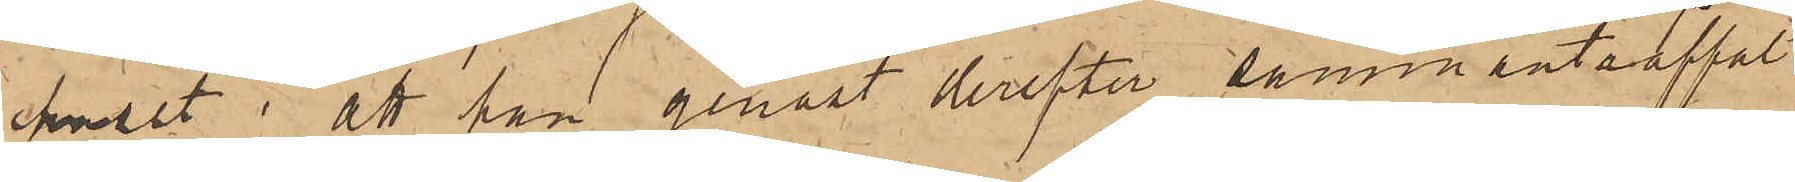huset; att han genast derefter sammanträffat
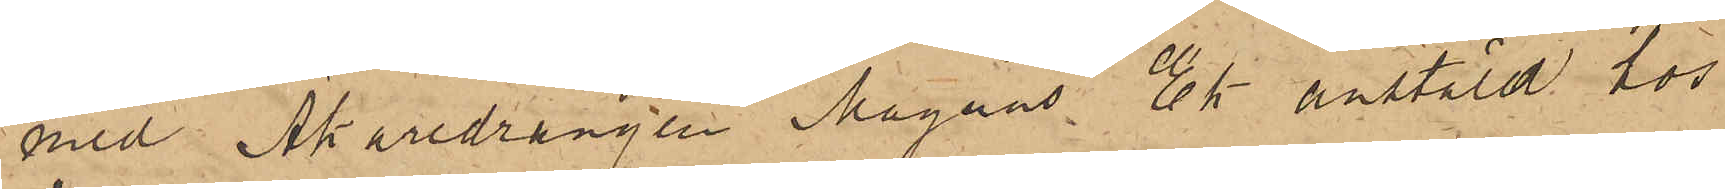med Åkaredrängen Magnus Ek anstäld hos
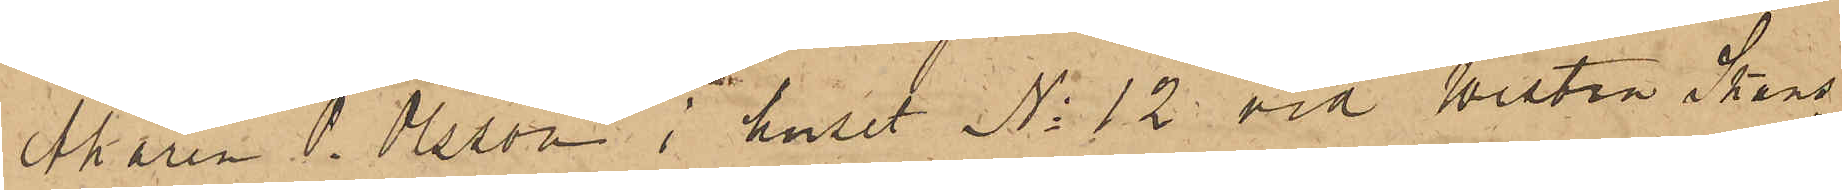Åkaren O. Olsson i huset No 12 vid Westra Skans¬
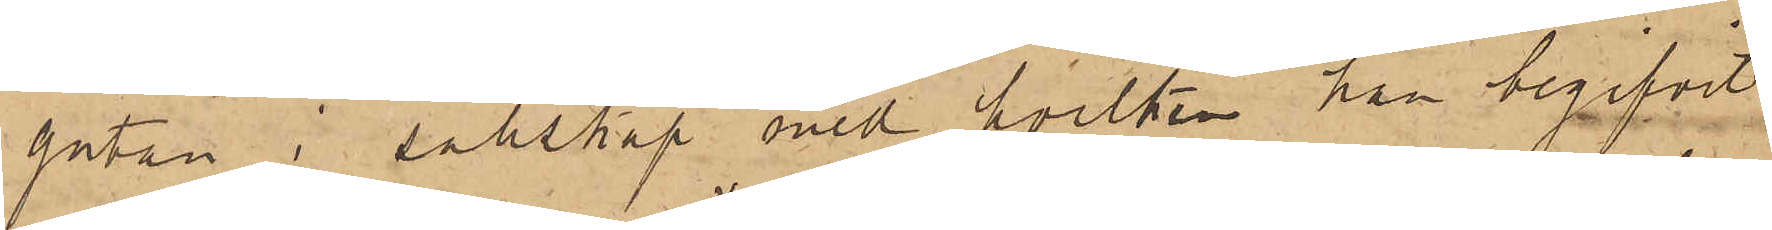gatan, i sällskap med hvilken han begifvit
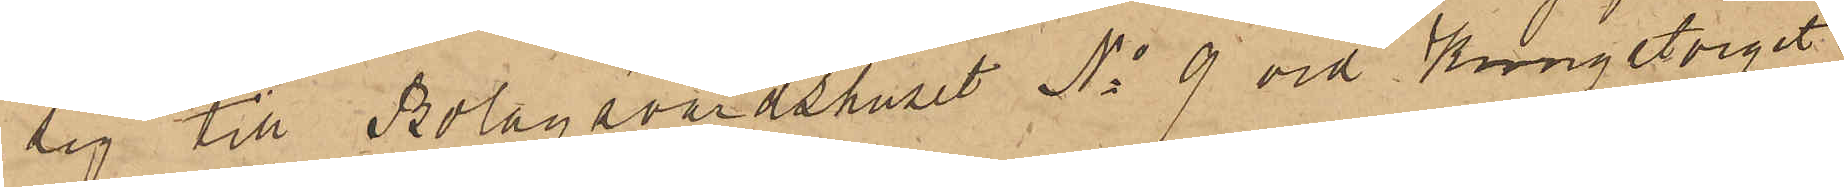sig till Bolagsvärdshuset No 9 vid Kungstorget
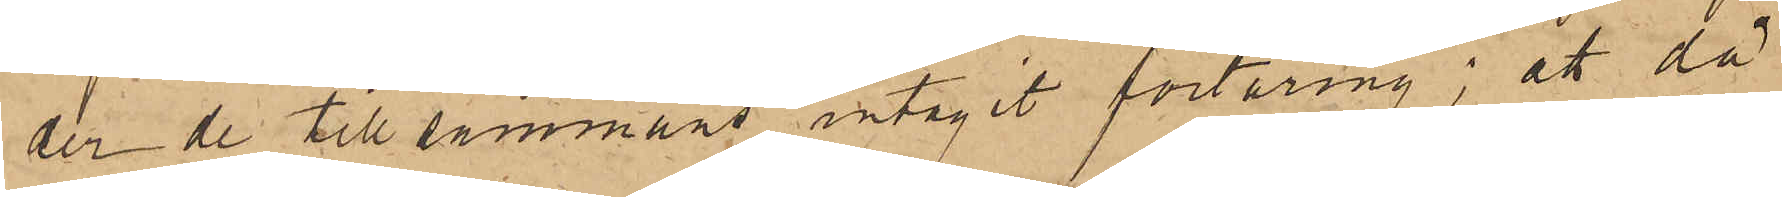der de tillsammans intagit förtäring; att då
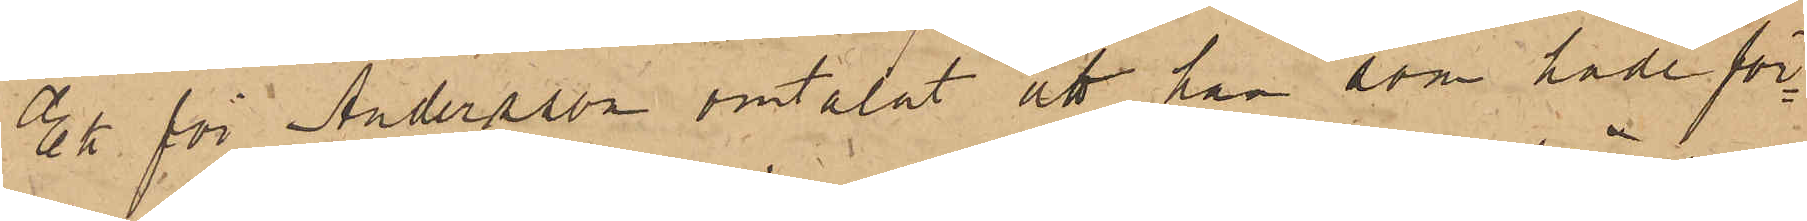Ek för Andersson omtalat att han som hade för¬
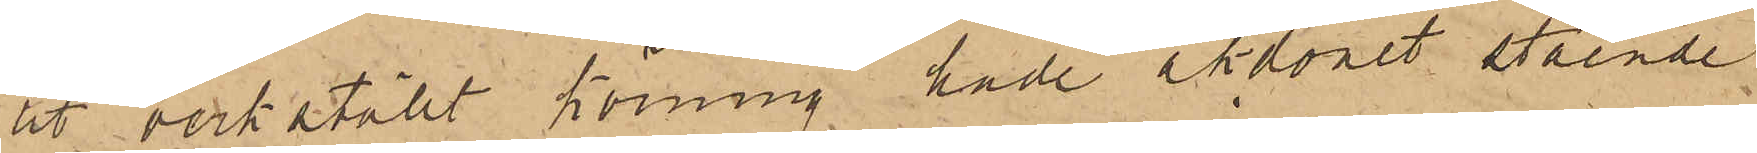ut verkställt körning hade åkdonet stående
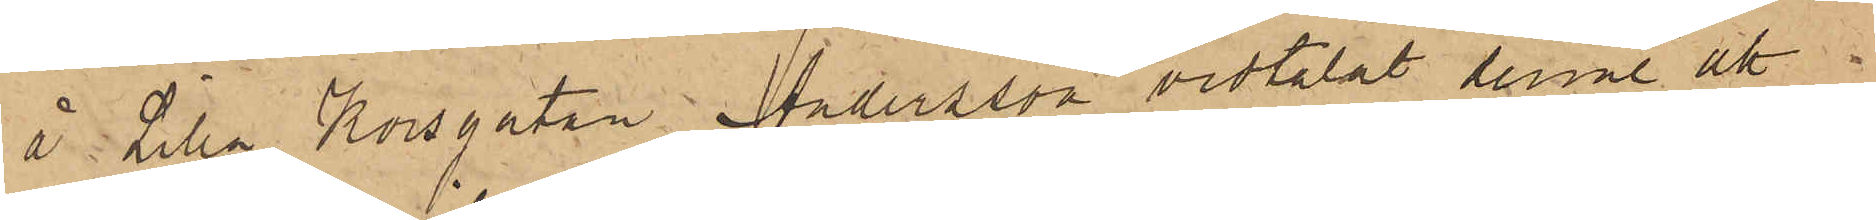å Lilla Korsgatan, Andersson vidtalat denne att
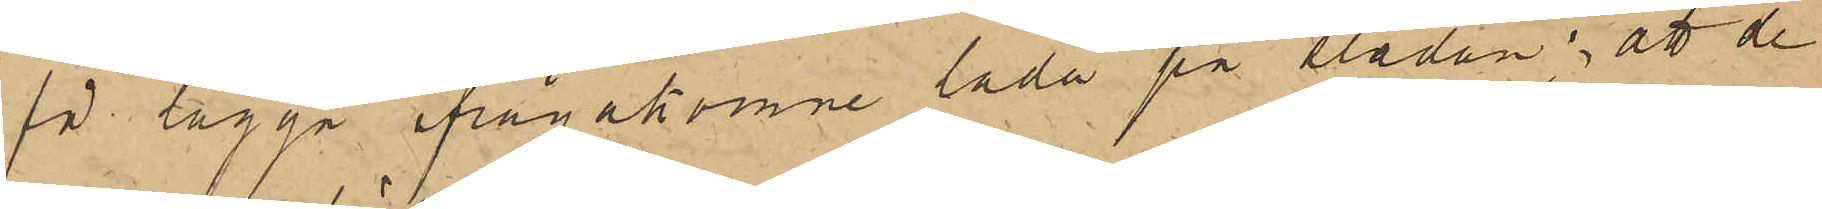få lägga ifrågakomne låda på släden; att de
